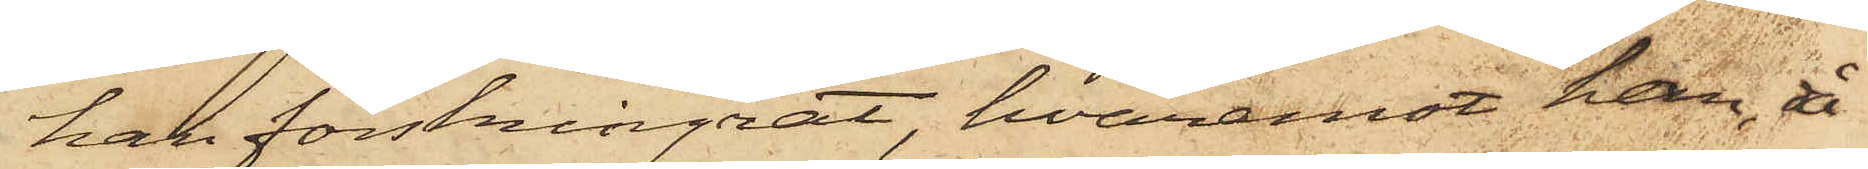han förskingrat, hvaremot han å
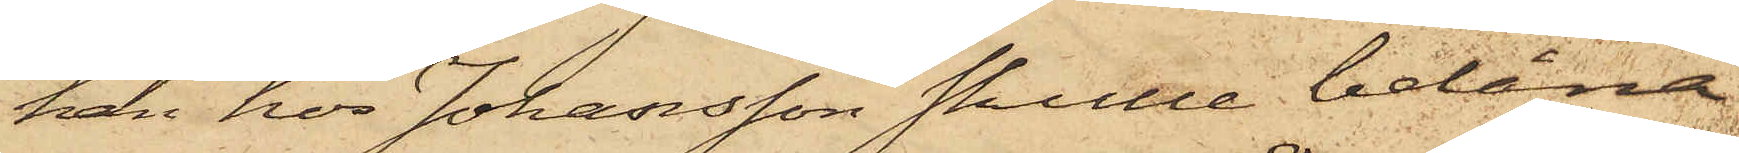han hos Johansson skulle belåna
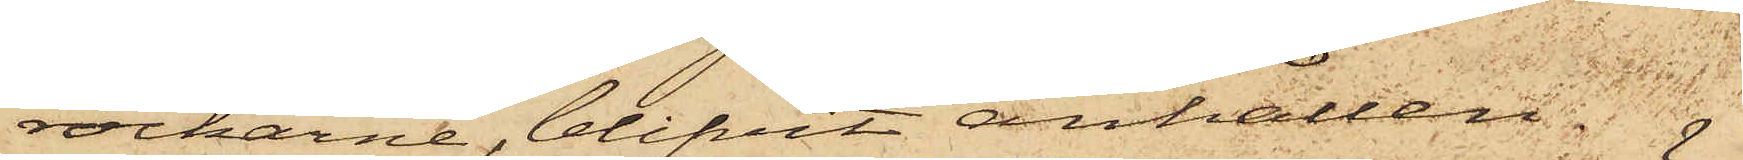rockarne, blifvit anhållen.
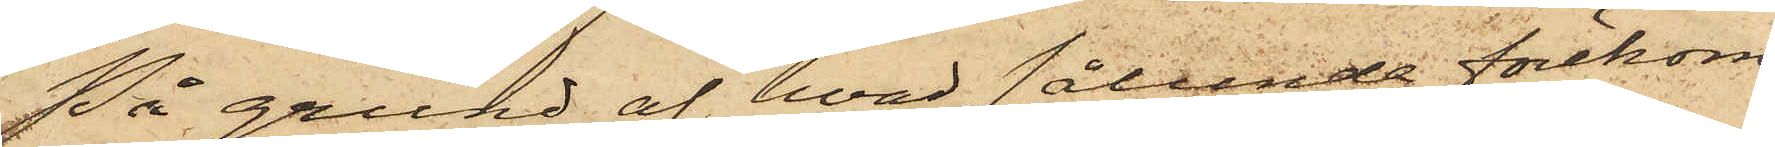På grund af hvad sålunda förekom¬
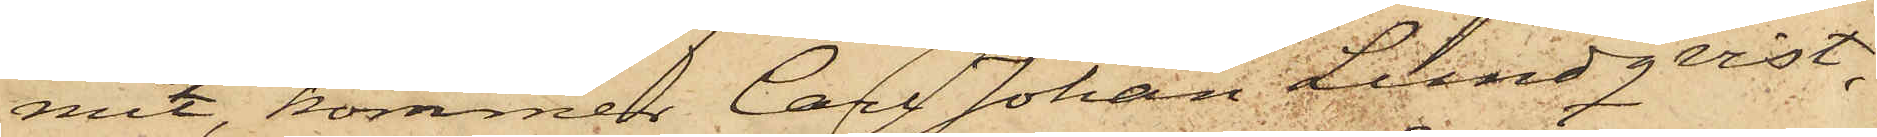mit, kommer Carl Johan Lundqvist,
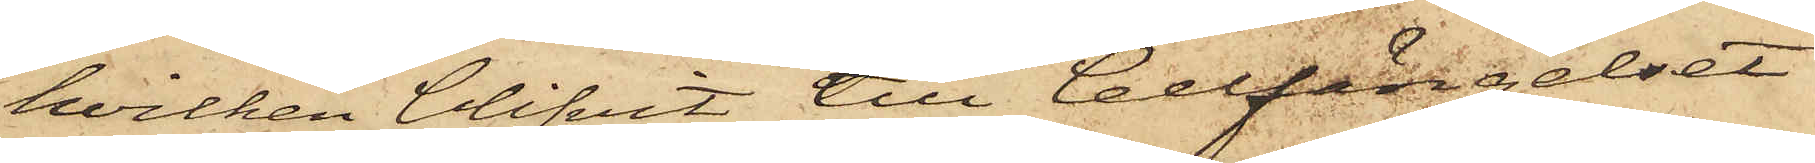hvilken blifvit till Cellfängelset
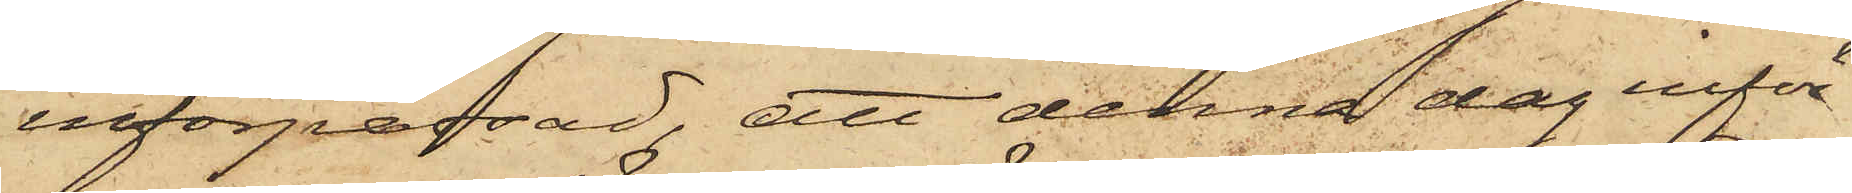införpassad, att denna dag inför
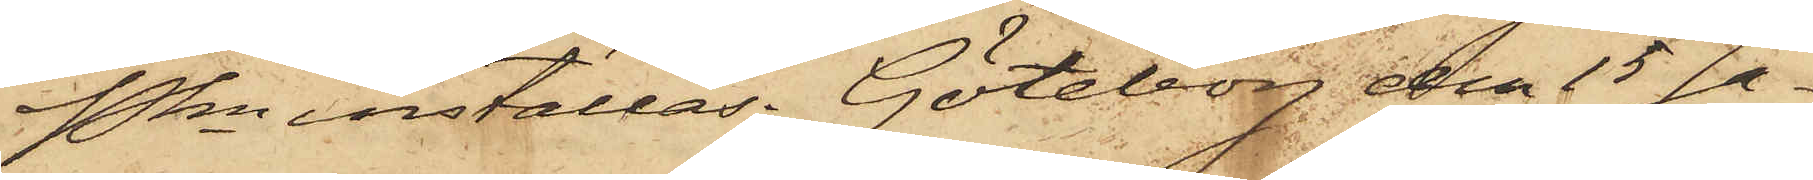Pkn inställas. Göteborg den 15 Ja¬
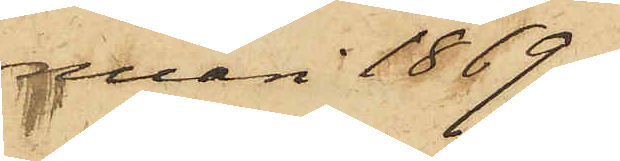nuari 1869.
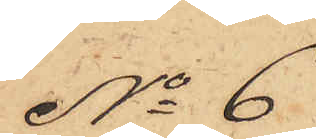No 6
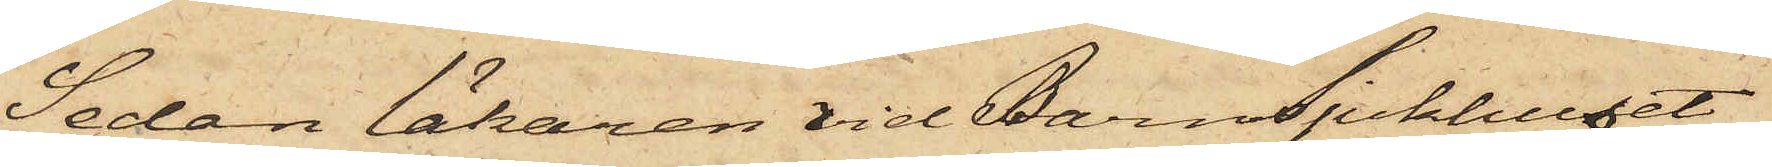Sedan läkaren vid Barnsjukhuset
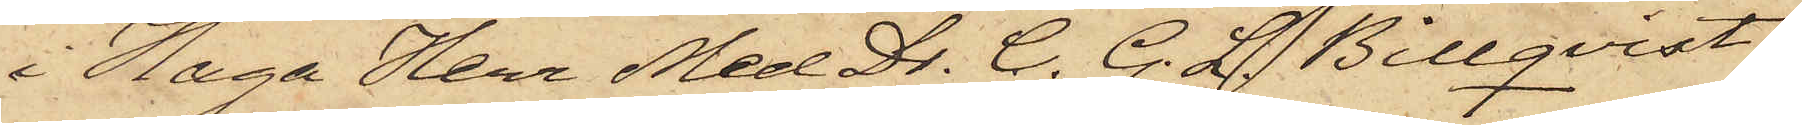i Haga Herr Med Dr. C. G. L. Billqvist
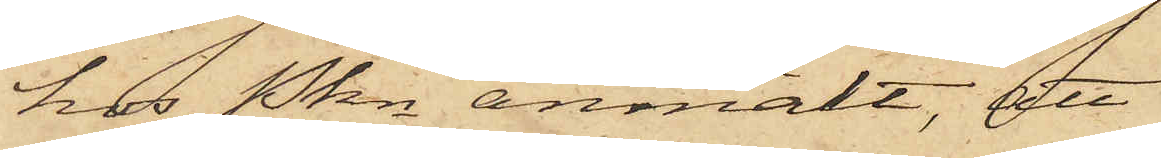hor Pkn anmält; att
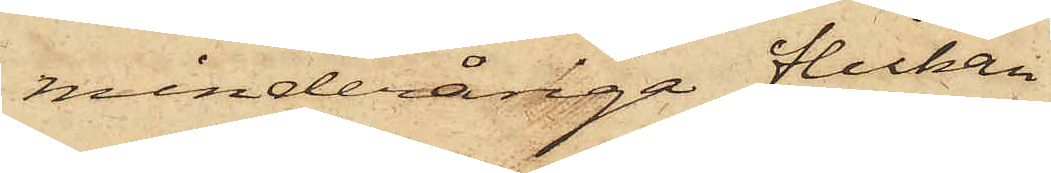minderåriga flickan
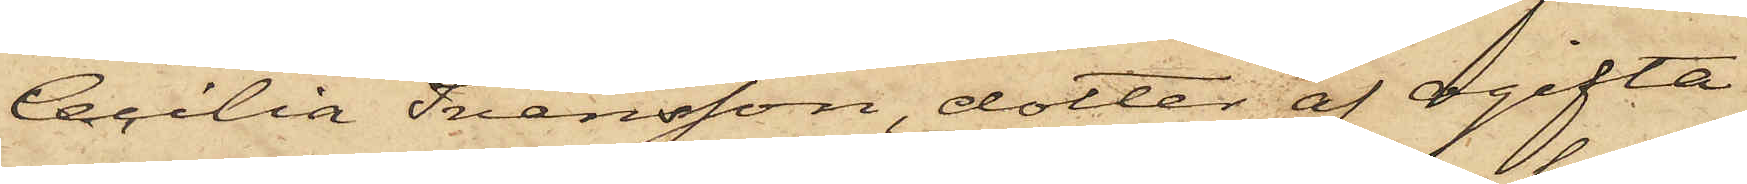Cecilia Svensson, dotter af ogifta
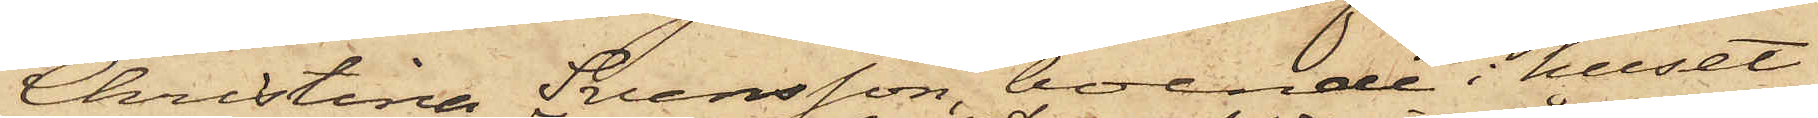Christina Svensson, boende i huset
